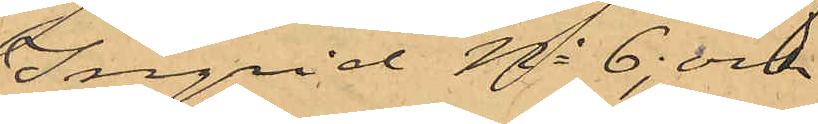Ingrid No 6; och
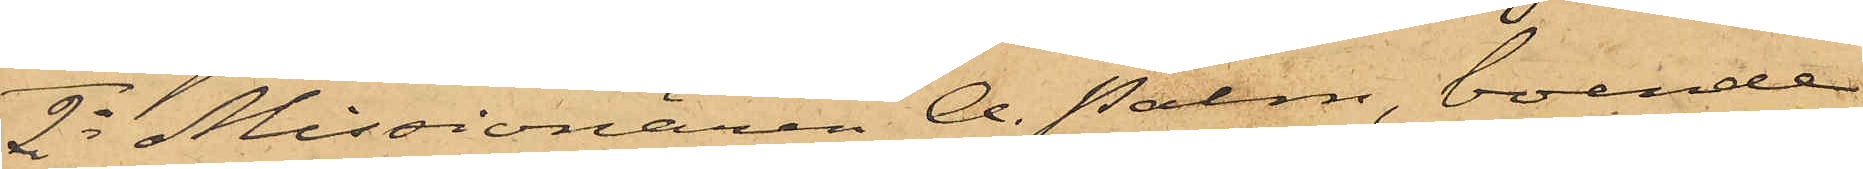2o Missionären A. Palm, boende
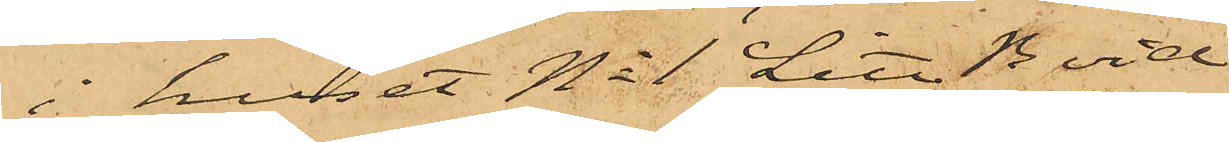i huset No 1 Litt. B vid
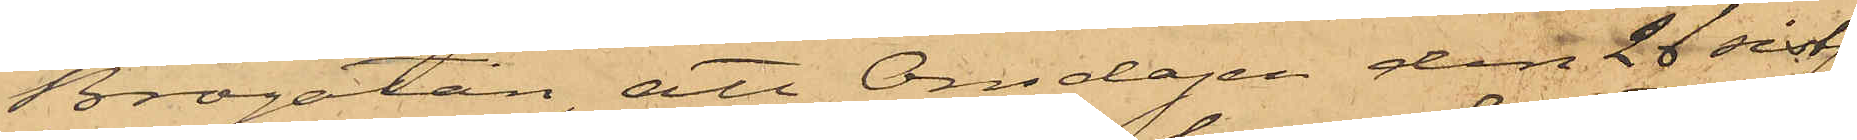Brogatan, att Onsdagen den 28 sistl.
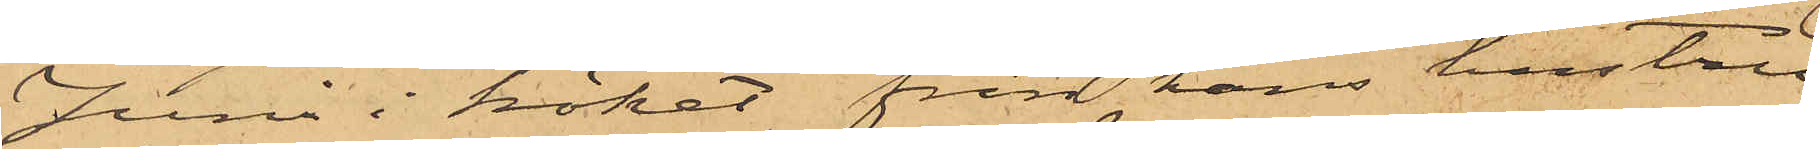Juni i köket från hans hustru
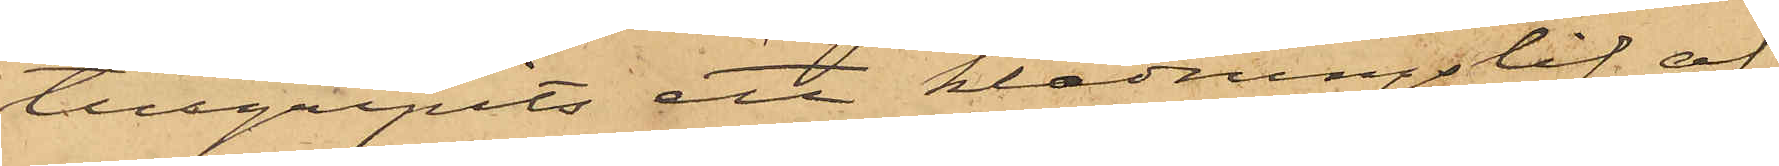tillgripits ett klädningslif af
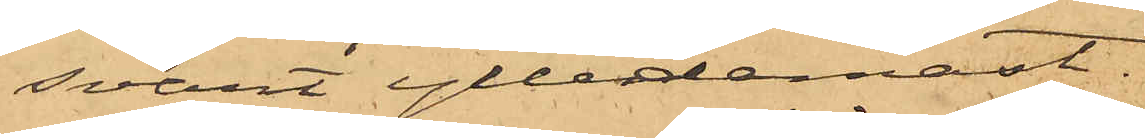svart ylledamast.
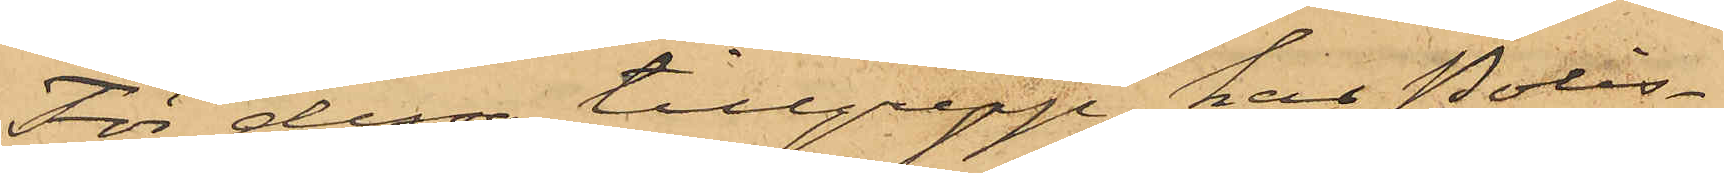För dessa tillgrepp har Polis¬
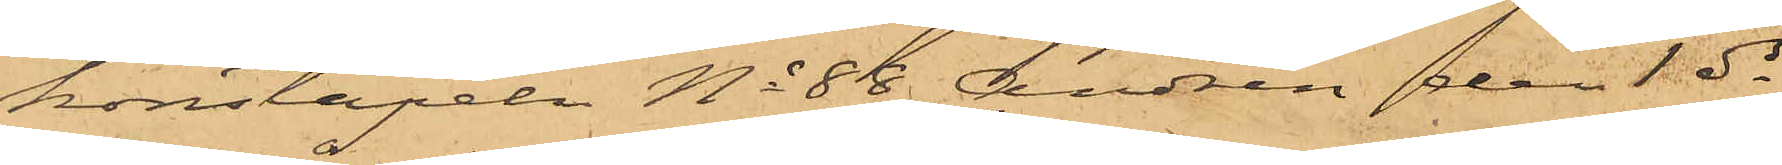konstapeln No 88 Andrén den 1 ds
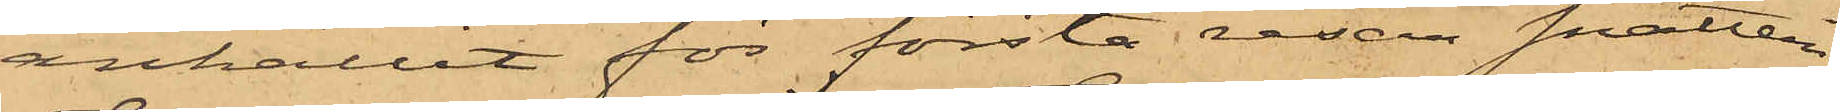anhållit för första resan snatteri
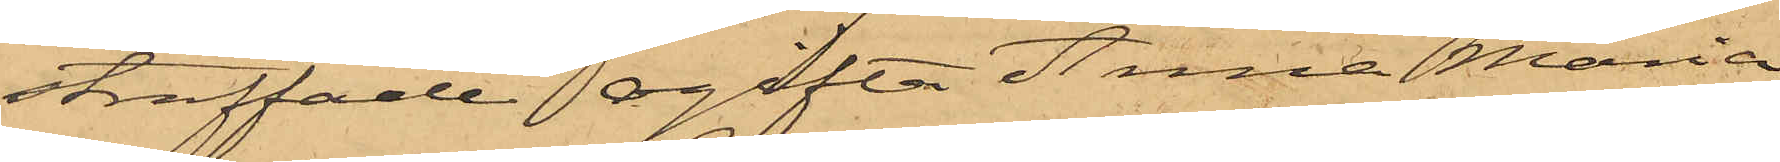straffade ogifta Anna Maria
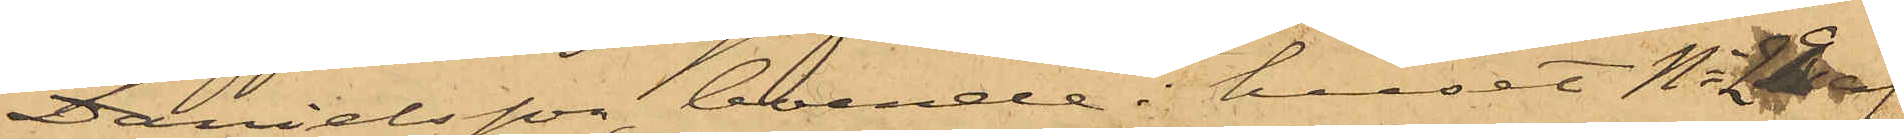Danielsson, boende i huset No 29 af
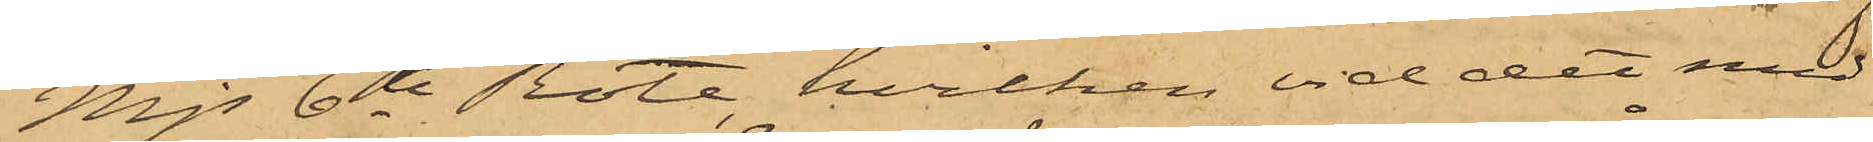Mjs 6te Rote, hvilken vid det med
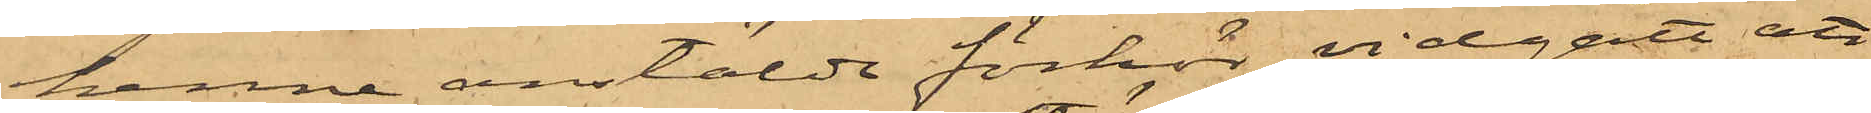henne anstälda förhör vidgått att
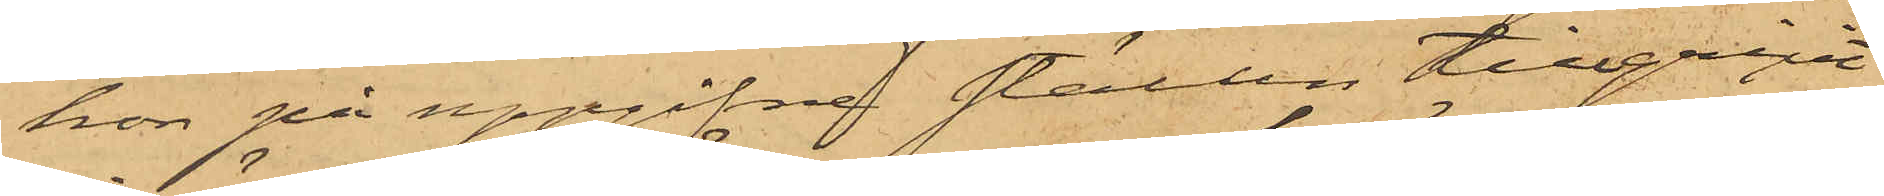hon på uppgifne ställen tillgripit
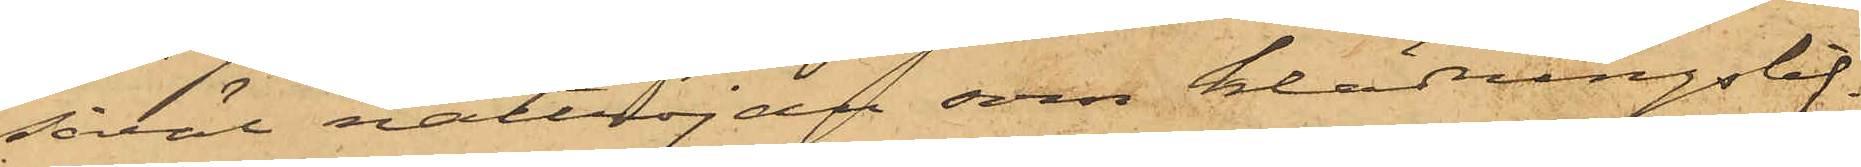såväl nattröjan som klädningslif¬
